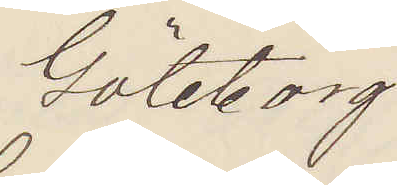Göteborg
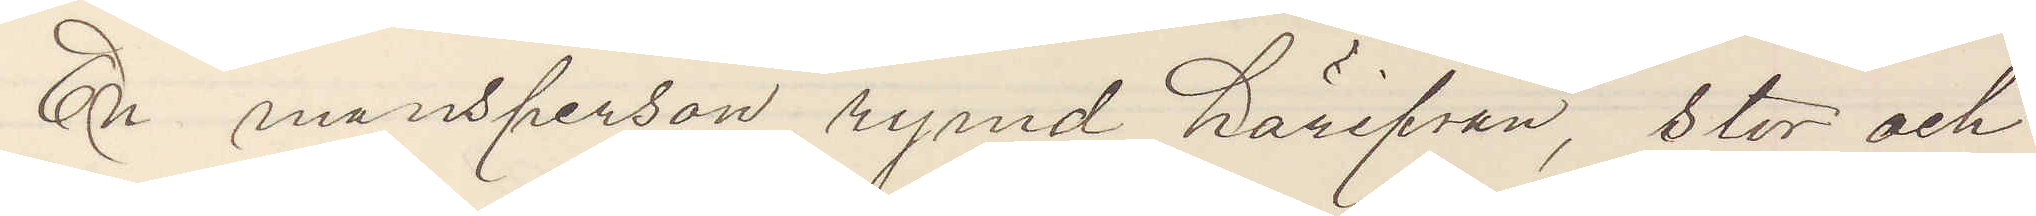En mansperson rymd härifrån, stor och
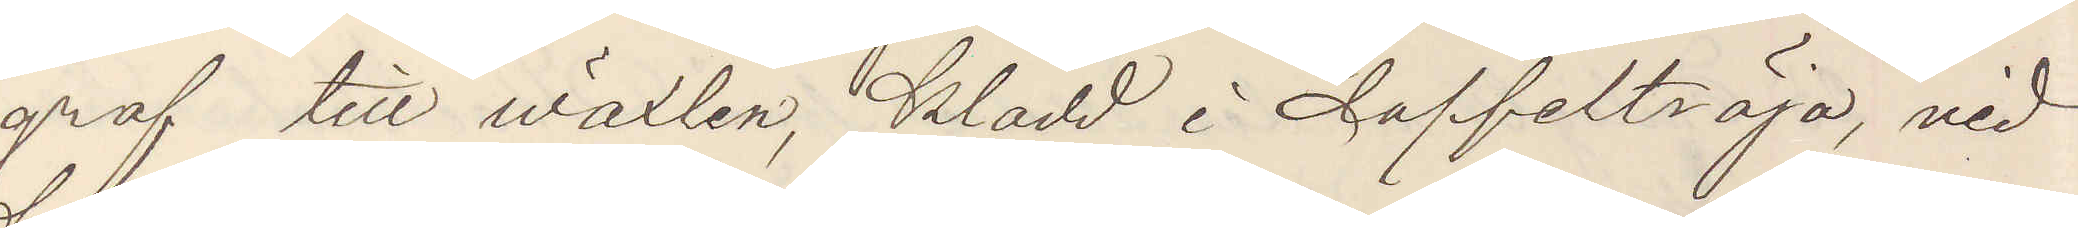grof till wäxten, klädd i doffelströja, vid
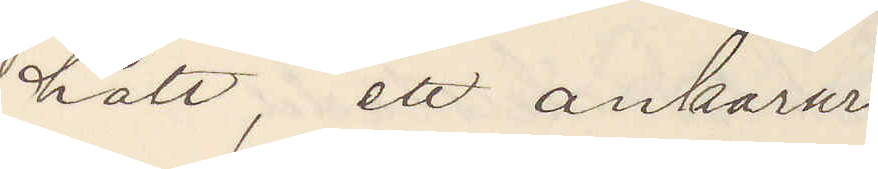hatt, ett ankarur.
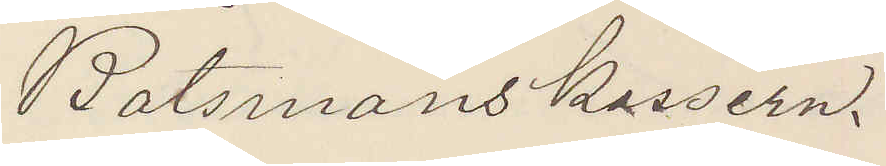Båtsmanskassern.
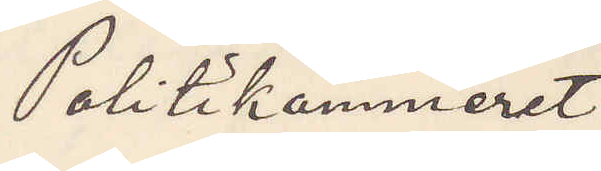Politikammeret
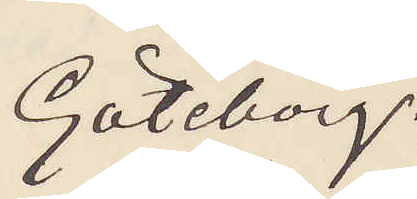Göteborg.
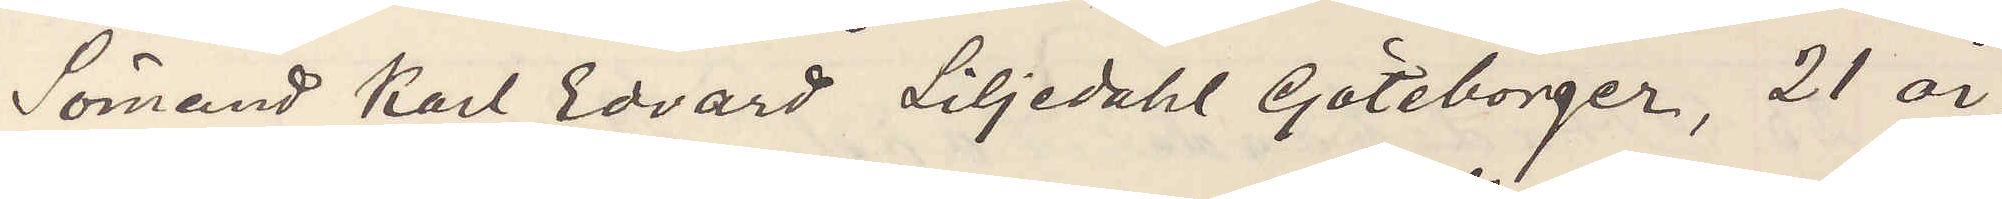Sömand Karl Edvard Liljedahl Göteborger, 21 år,
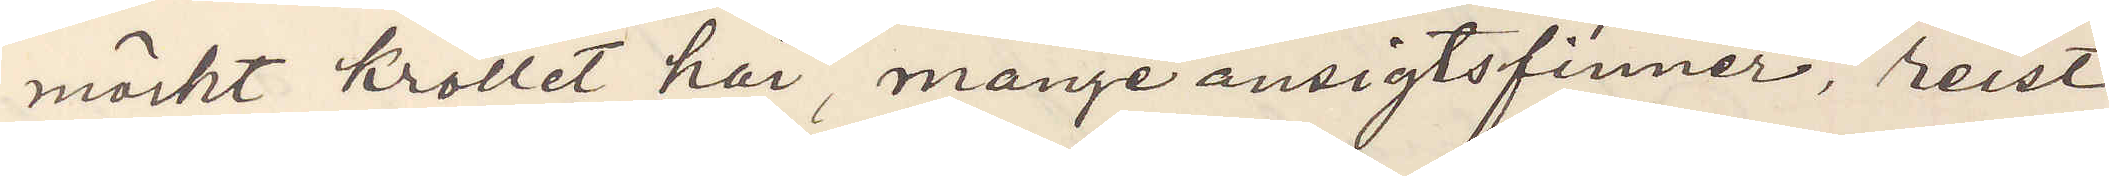mörkt kröllet hår, mange ansigtsfinner, reist
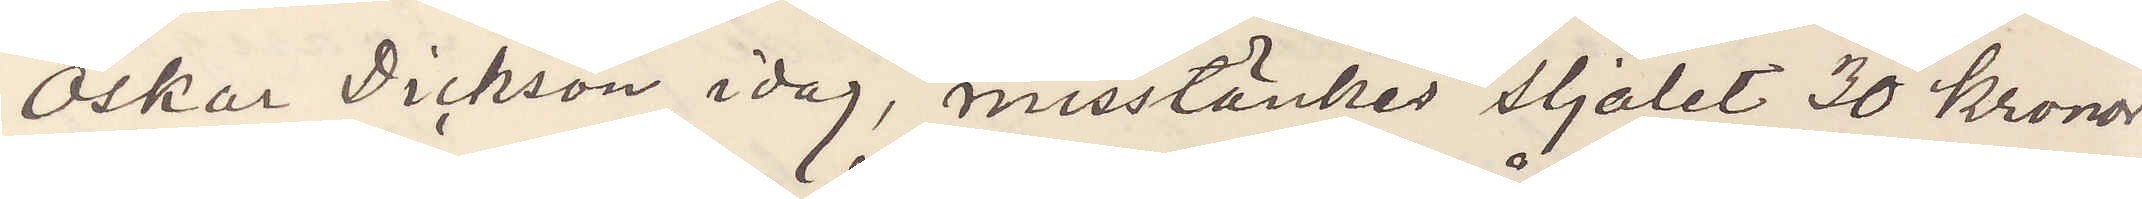Oskar Dickson idag, misstänkes stjälet 30 kronor
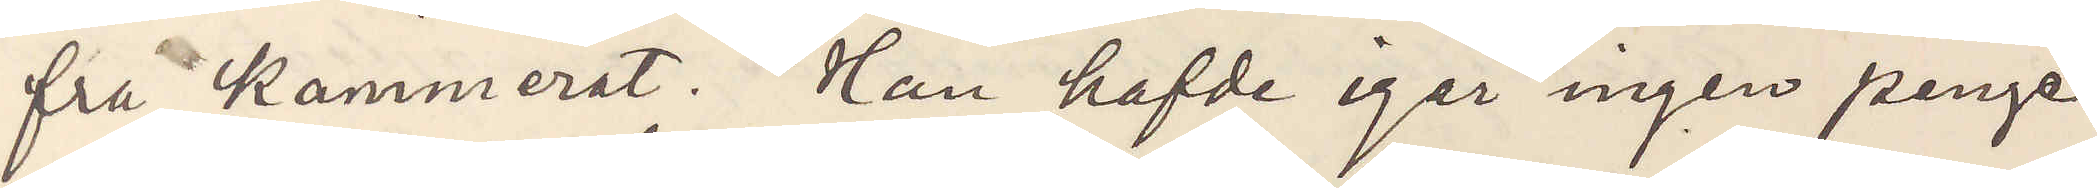fra Kammerat. Han hafde igår ingen penge.
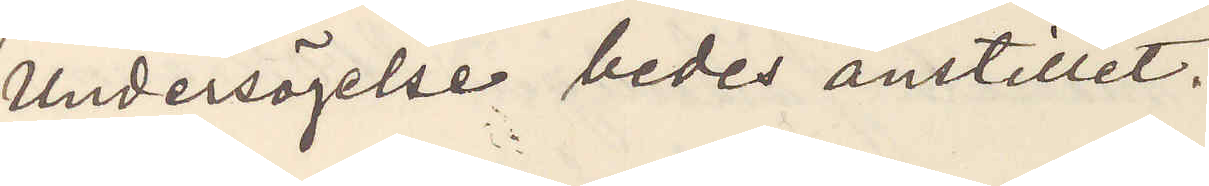Undersögelse bedes anstillet.
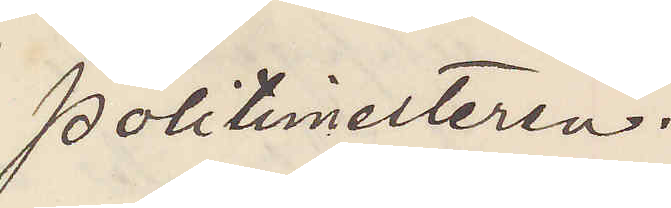Politimesteren.
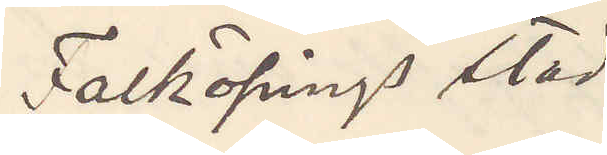Falköpings stad
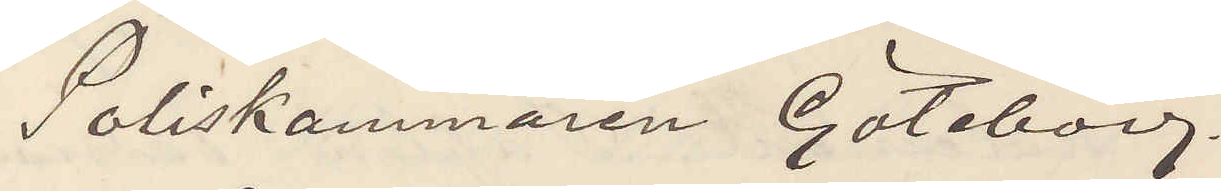Poliskammaren Göteborg.
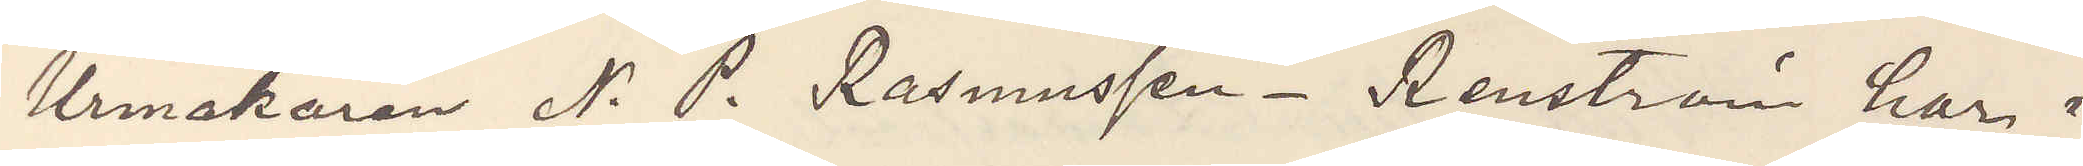Urmakaren N. P. Rasmussen Renström har i
